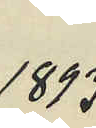1893
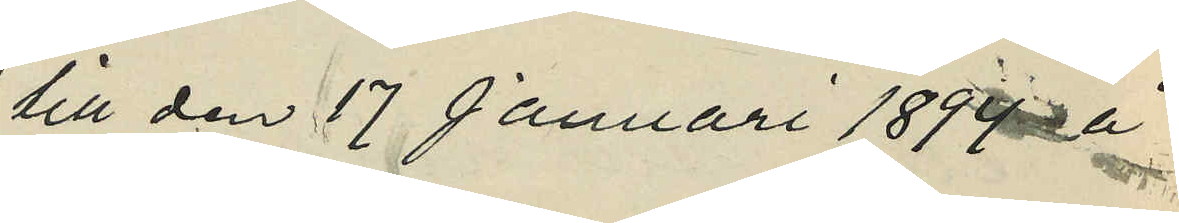till den 17 Januari 1894 å
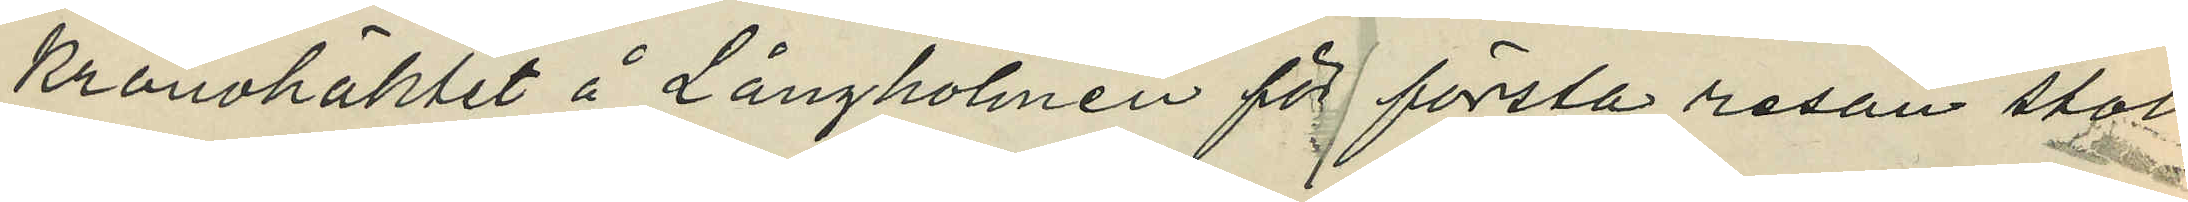kronohäktet å Långholmen för första resan stöld
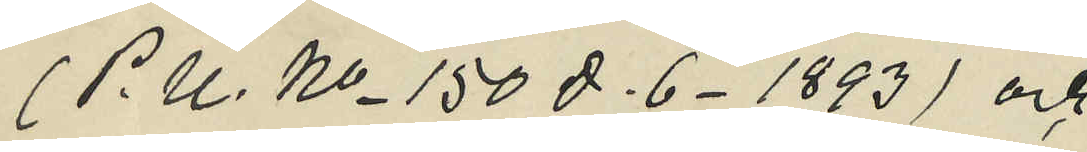(P. U. No 150 D. 6. 1893) och
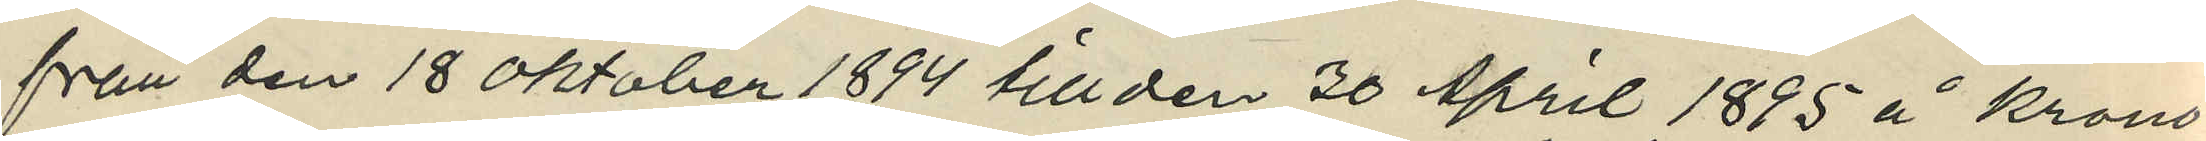från den 18 Oktober 1894 till den 30 April 1885 å krono¬
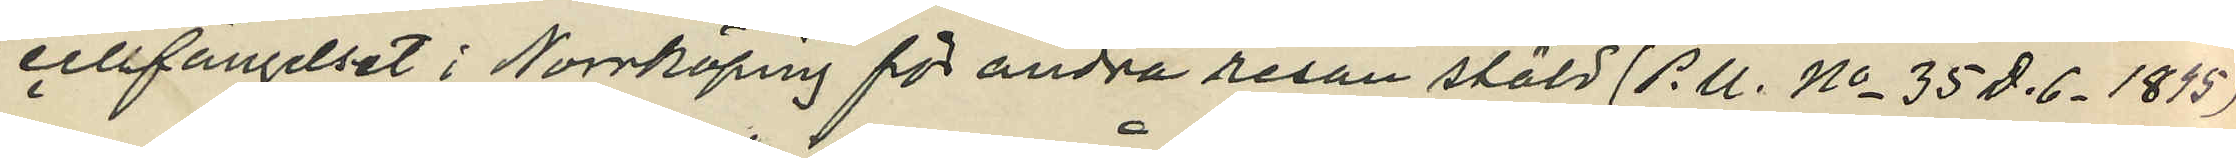cellfängelset i Norrköping för andra resan stöld (P.U. No 35 D. 6. 1895)
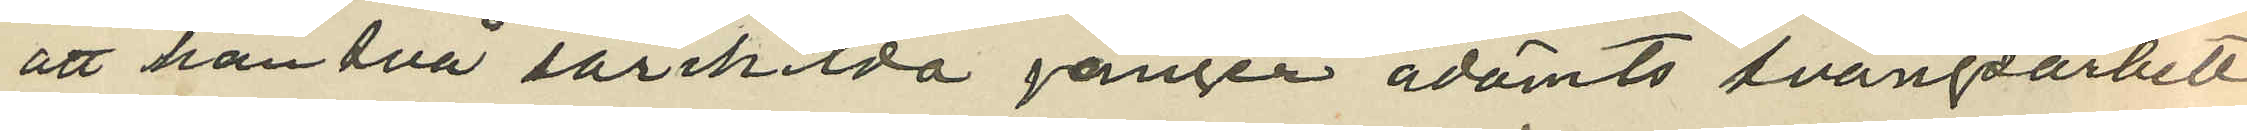att han två särskilda gånger ådömts tvangsarbete
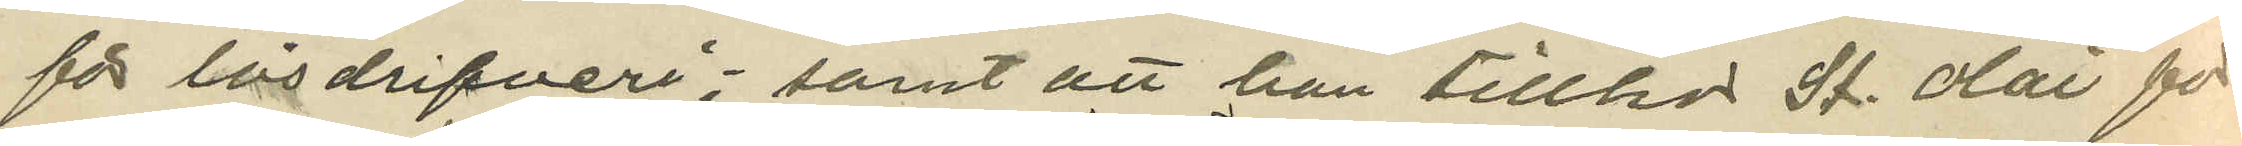för lösdrifveri; samt att han tillhor St. Olai för¬
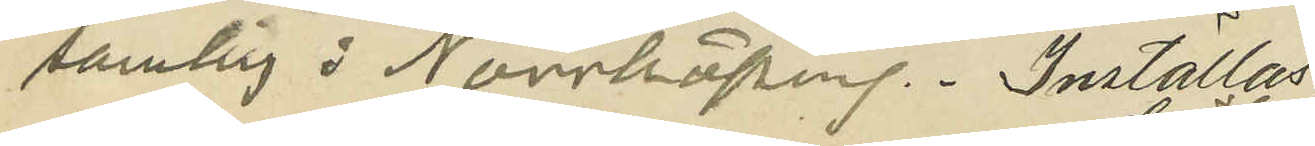samlig i Norrköping. Inställas:
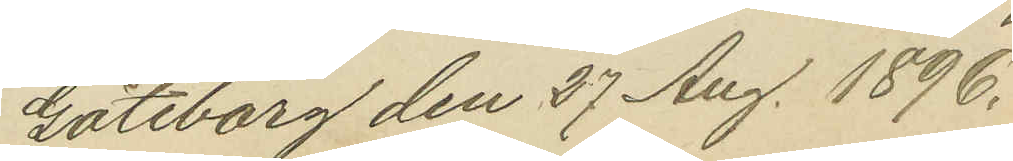Göteborg den 27 Aug. 1896.
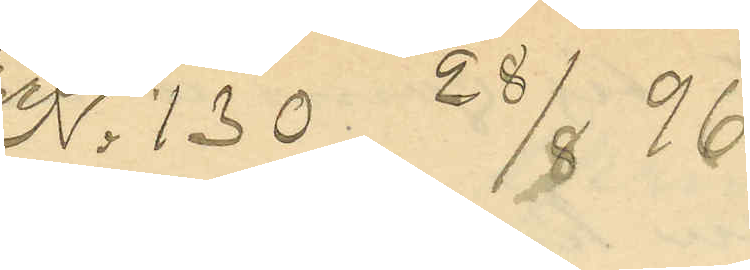No 130   28/8 96
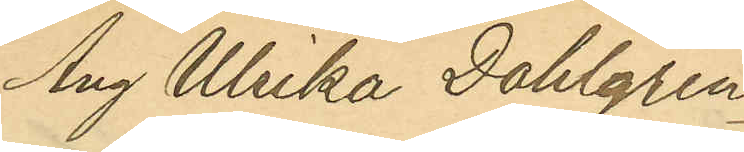Ang Ulrika Dahlgren
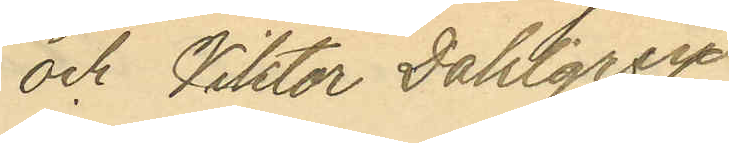och Viktor Dahlgren
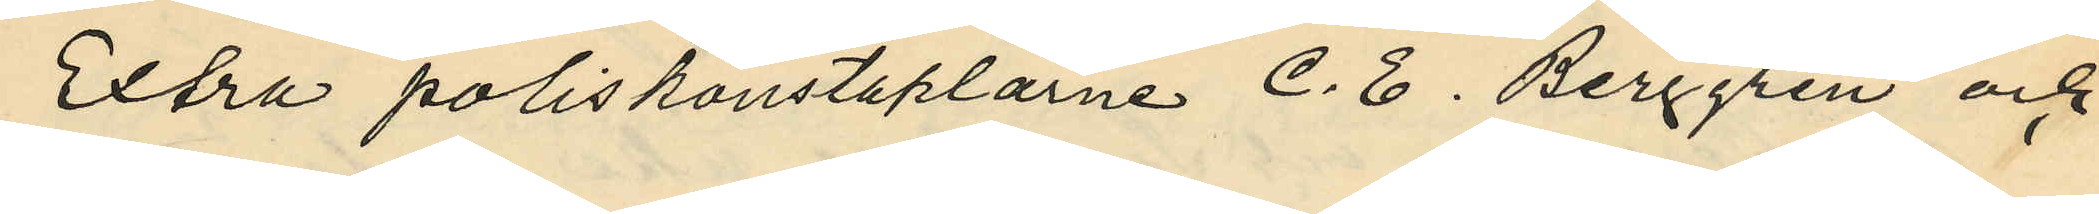Extra poliskonstaplarne C. E. Berggren och
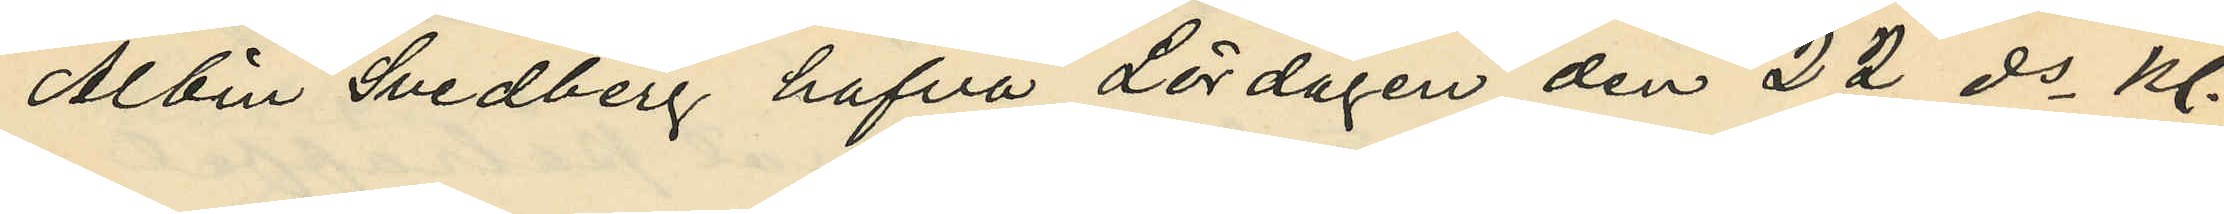Albin Svedberg hafva Lördagen den 22 ds kl.
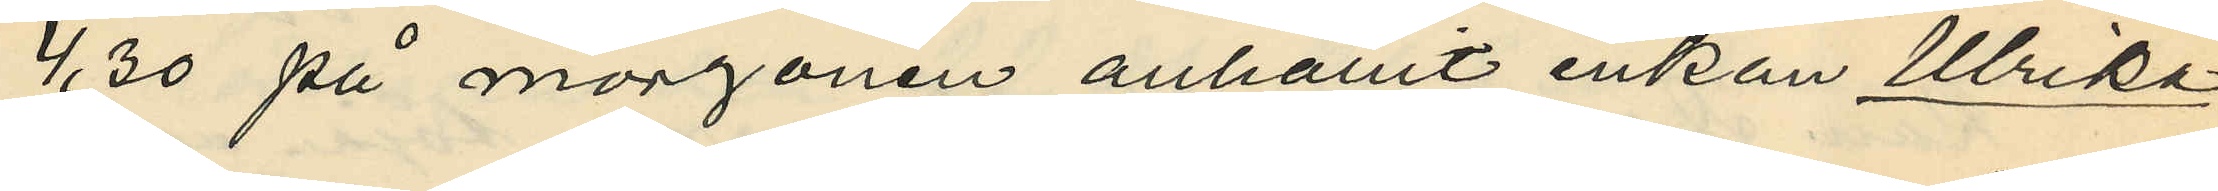4,30 på morgonen anhållit enkan Ulrika
